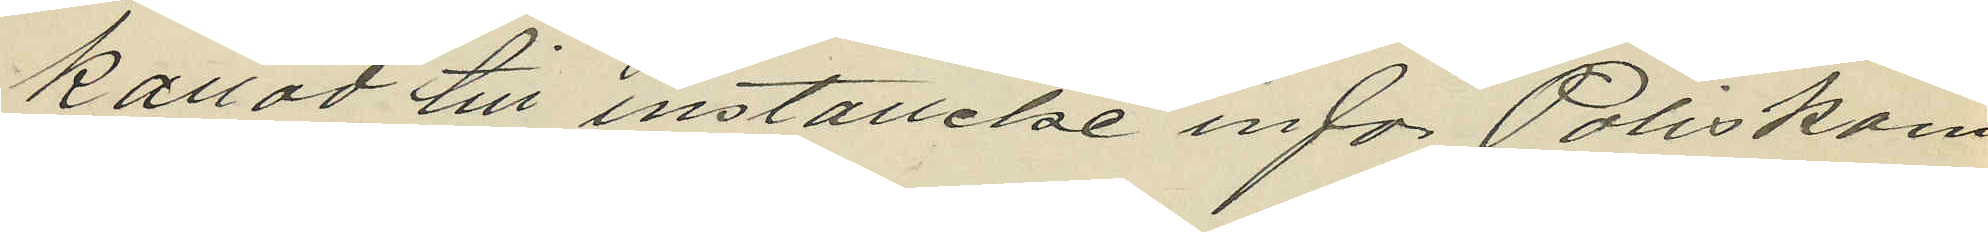kallad till inställelse inför Poliskam
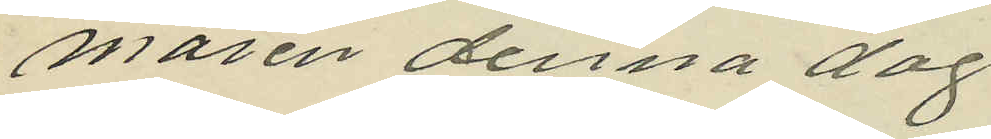maren denna dag
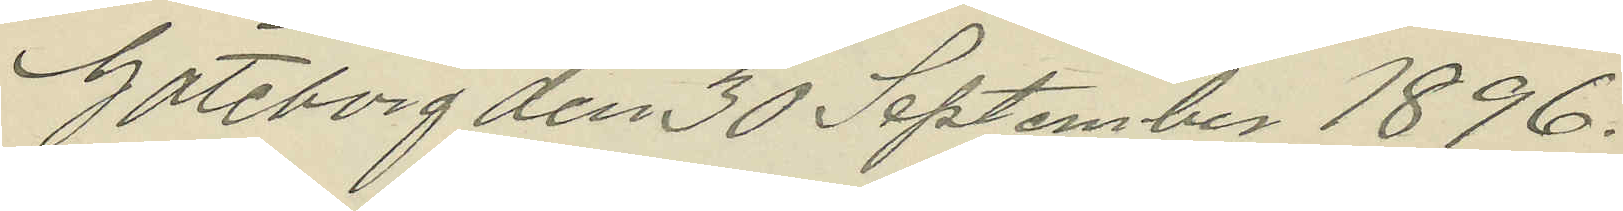Göteborg den 30 September 1896.
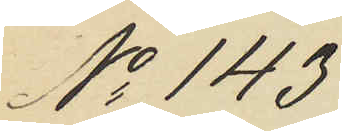No 143
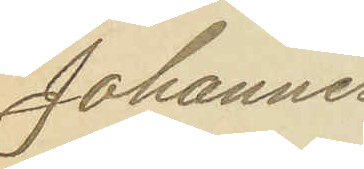Johannes
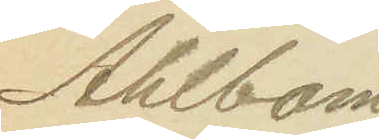Ahlbom
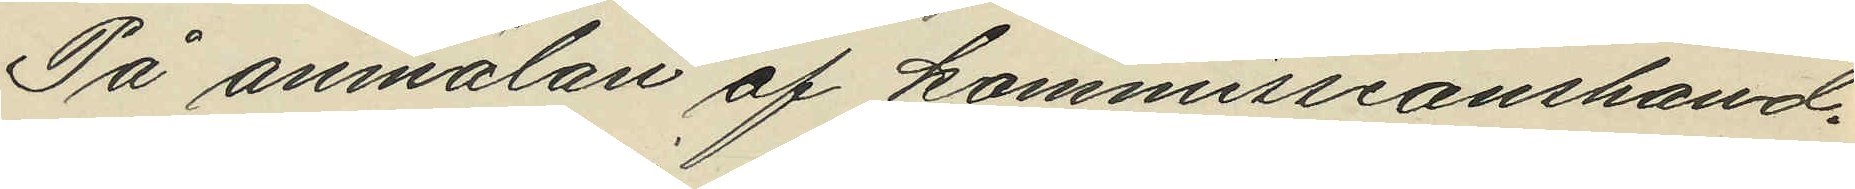På anmälan af kommissionshand¬
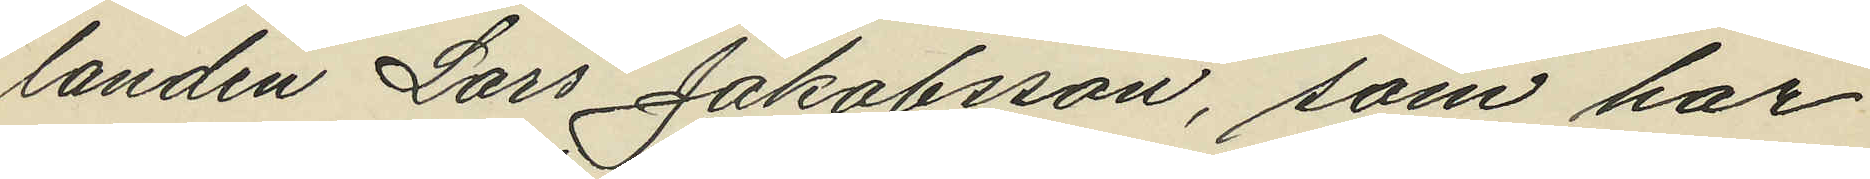landen Lars Jakobsson, som har
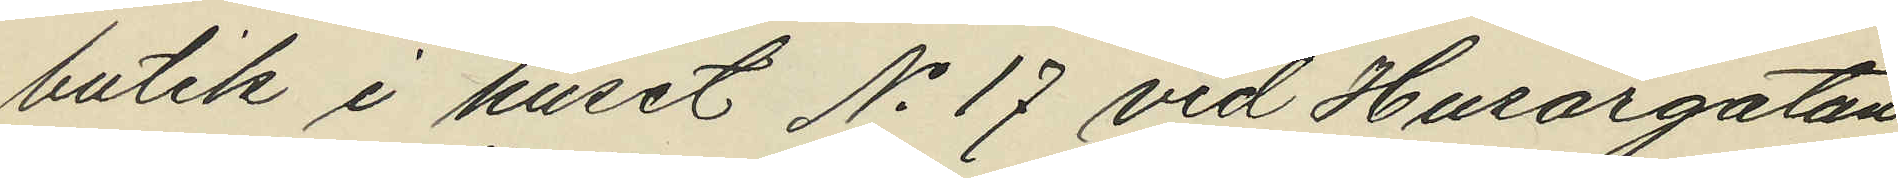butik i huset No 17 vid Husargatan
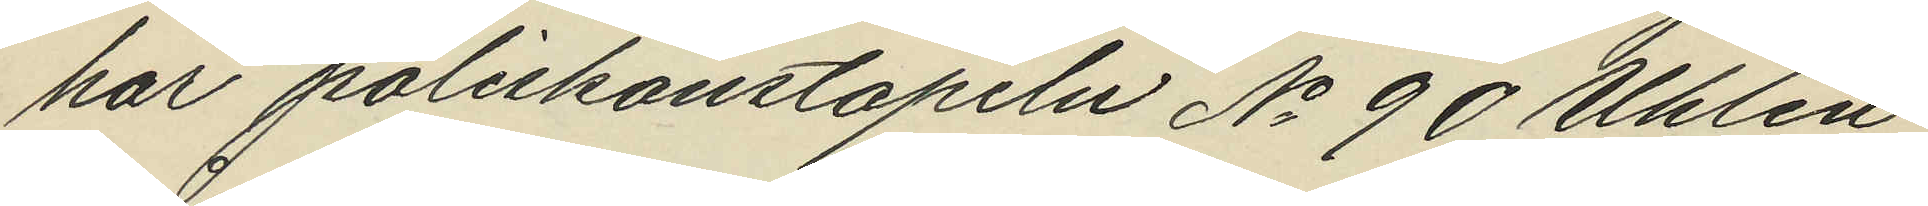har poliskonstapeln No 90 Uhlén
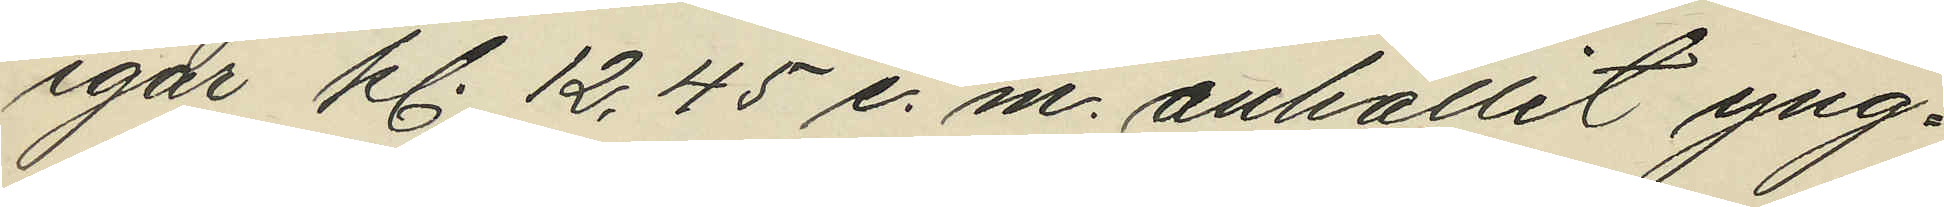igår kl. 12,45 e. m. anhållit yng¬
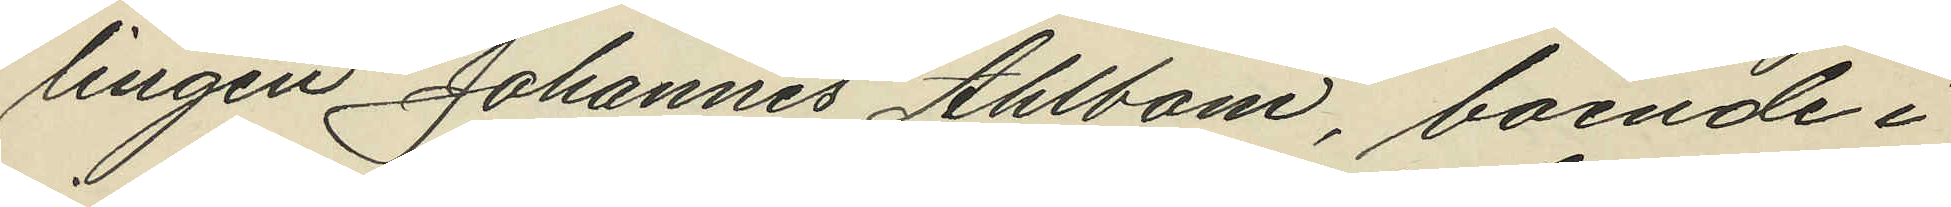lingen Johannes Ahlbom, boende i
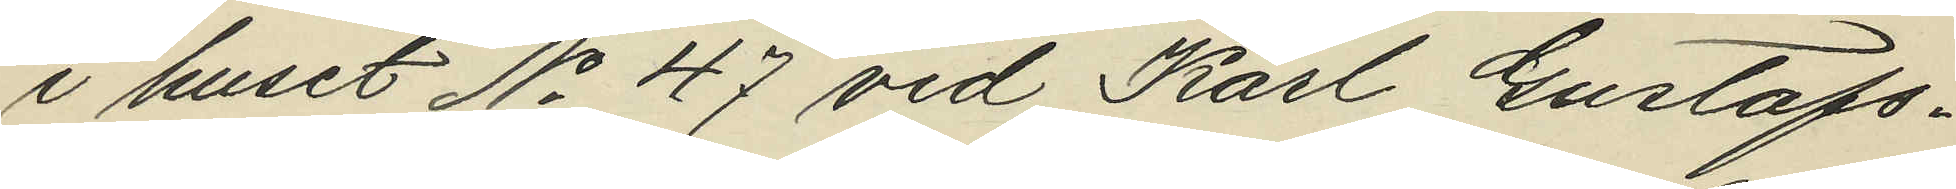i huset No 47 vid Karl Gustafs¬
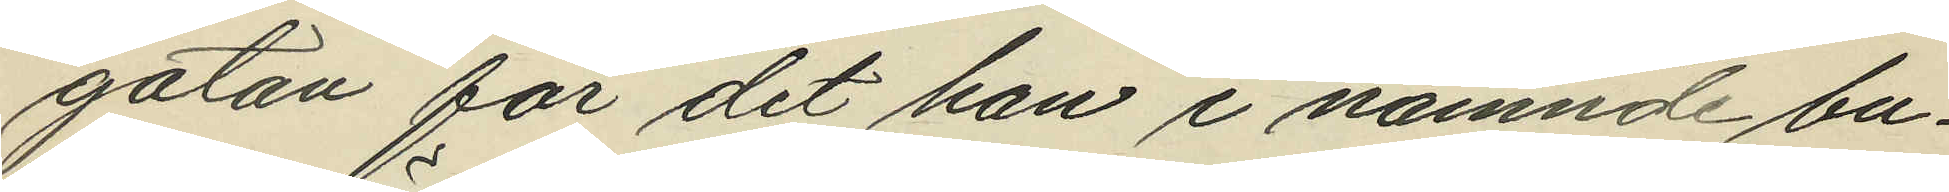gatan för det han i nämnde bu¬
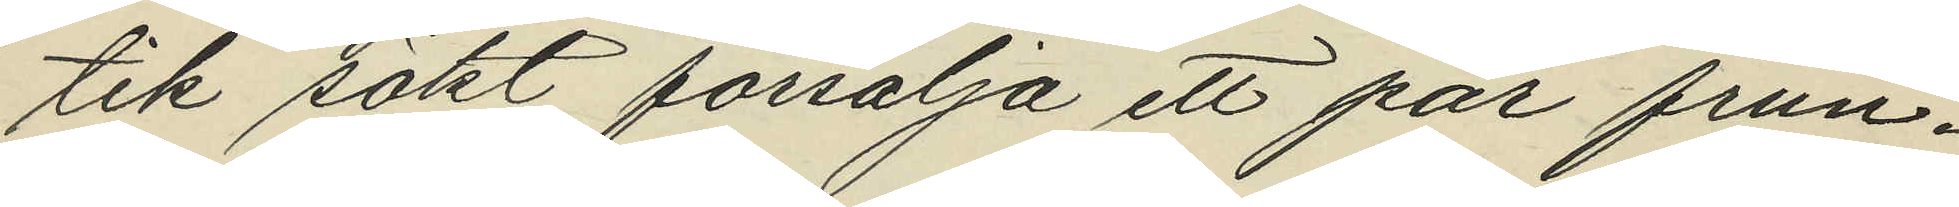tik sökt försälja ett par frun¬
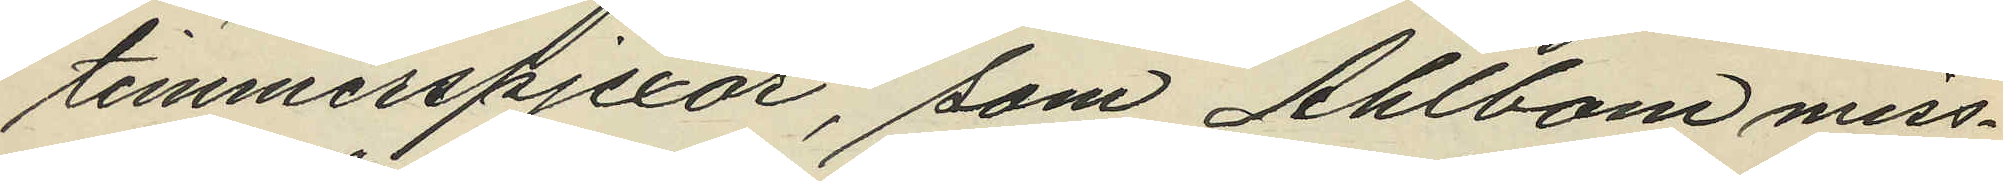timmerspjexor, som Ahlbom miss¬
